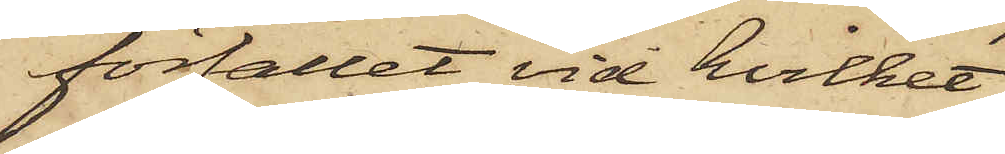förfallet, vid hvilket
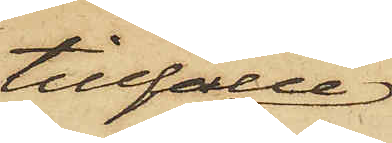tillfälle
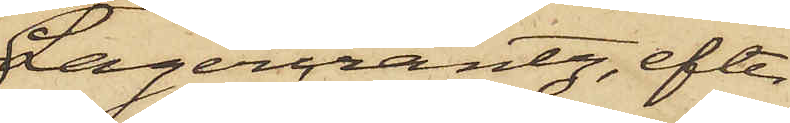Lagercrantz, efter
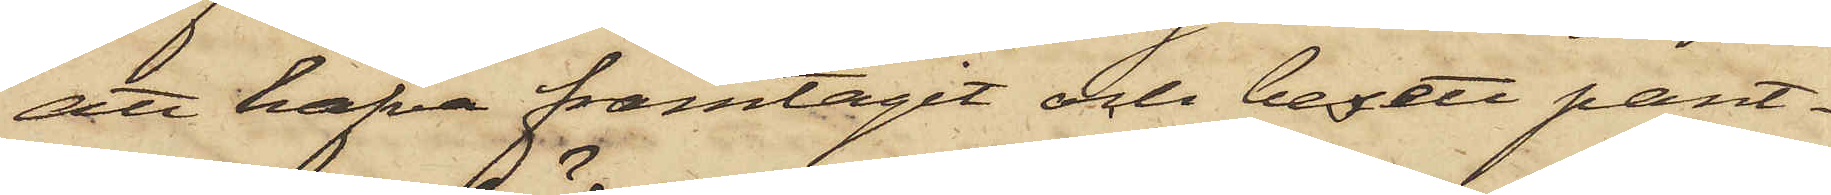att hafva framtagit och besett pant¬
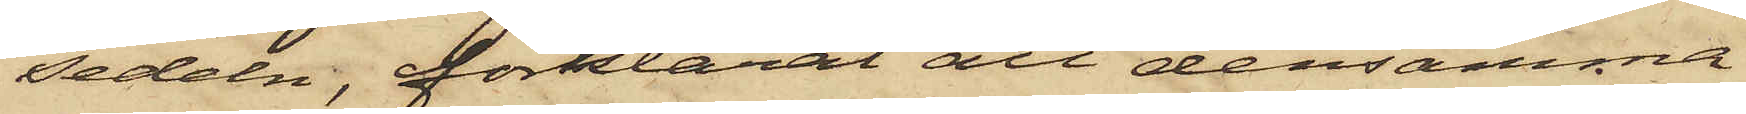sedeln, förklarat att densamma
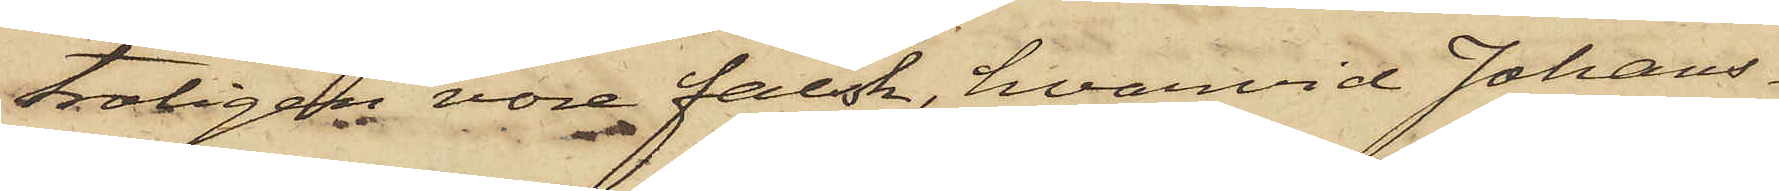troligen vore falsk, hvarvid Johans¬
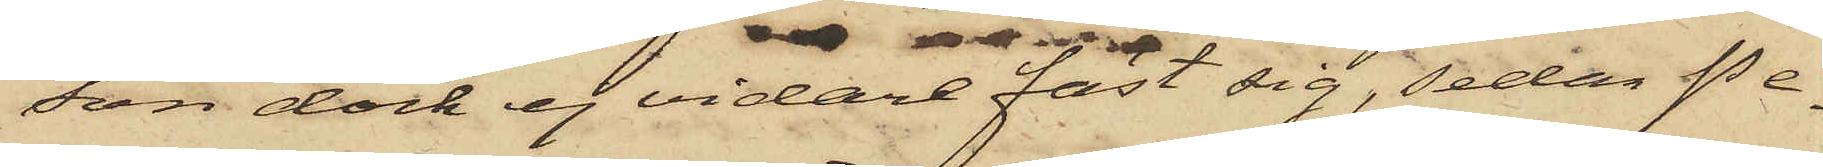son dock ej vidare fäst sig, sedan Pe¬
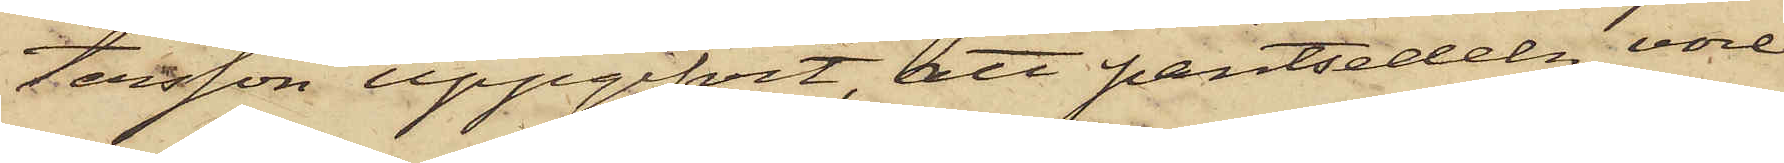tersson uppgifvit att pantsedeln vore
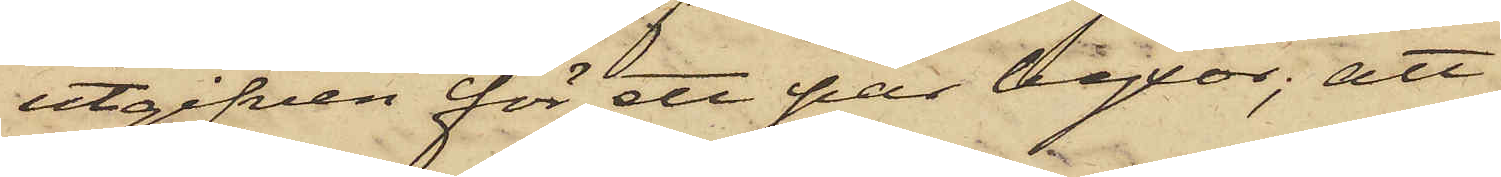utgifven för ett par byxor; att
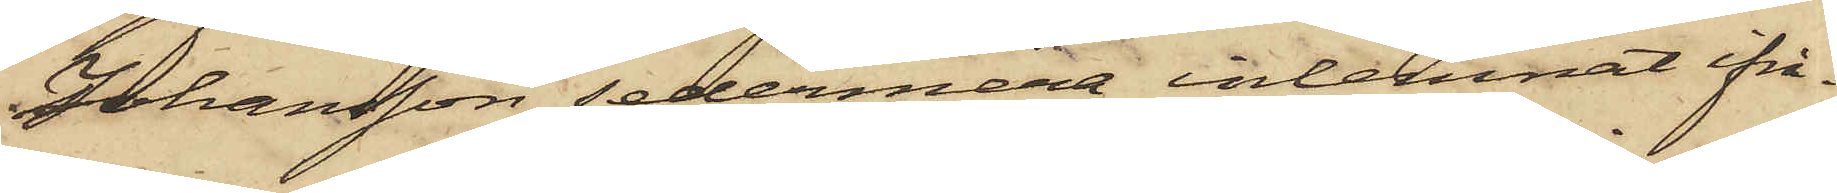Johansson sedermera inlemnat ifrå¬
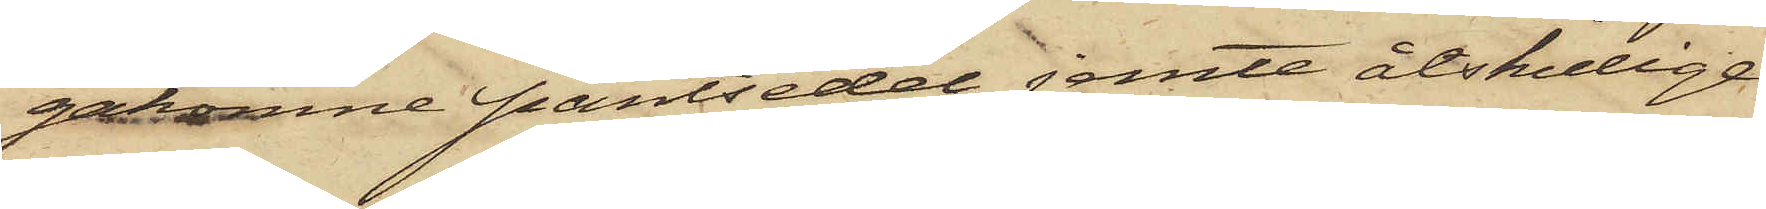gakomne pantsedel jemte åtskilliga
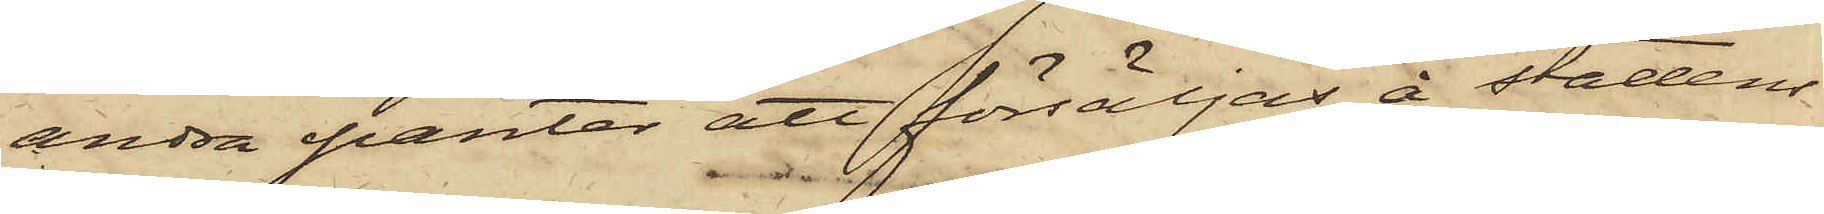andra panter att försäljas å stadens
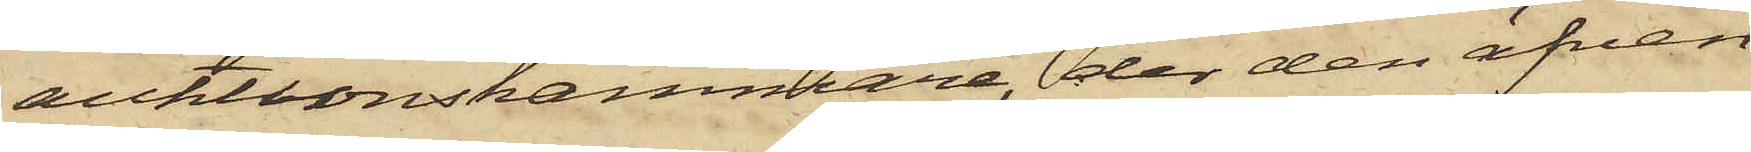auktionskammare, der den äfven¬
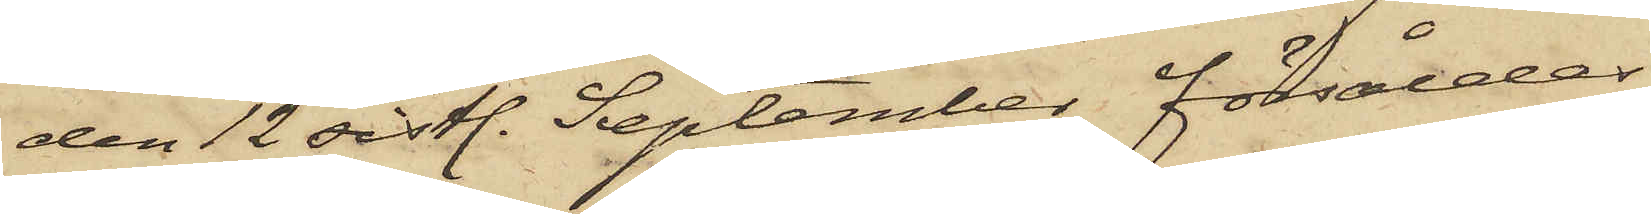den 12 sistl. September försåldes
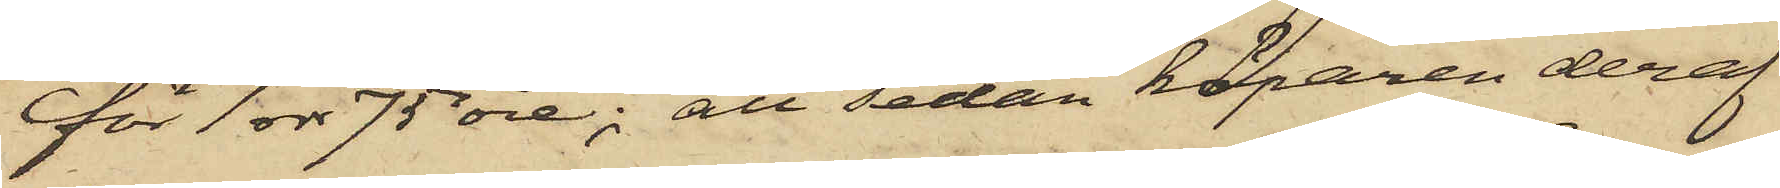för 1 rdr 75 öre; att sedan köparen deraf
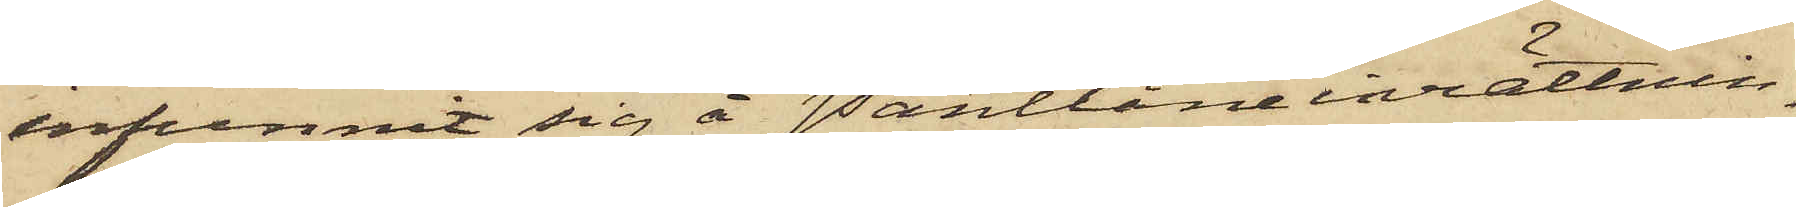infunnit sig å Pantlåneinrättnin¬
